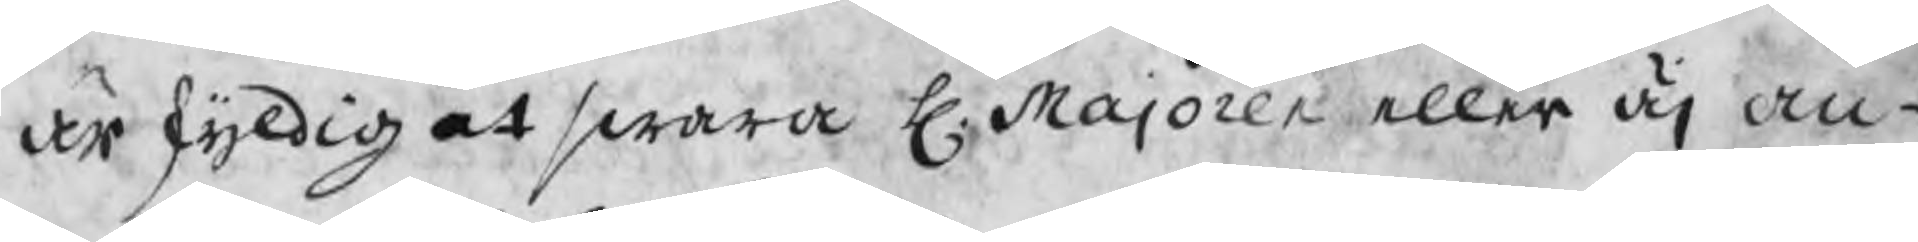är skyldig at swara H. Majoren eller äj an-
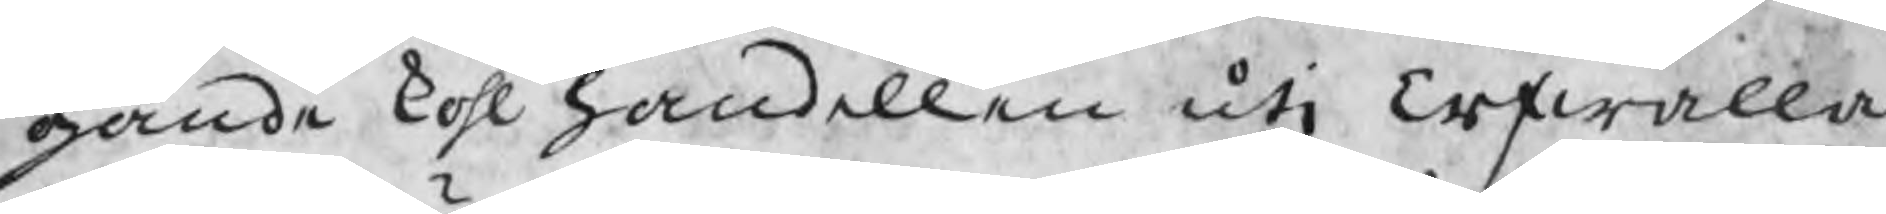gånde kohl handellen uti Erfwalla
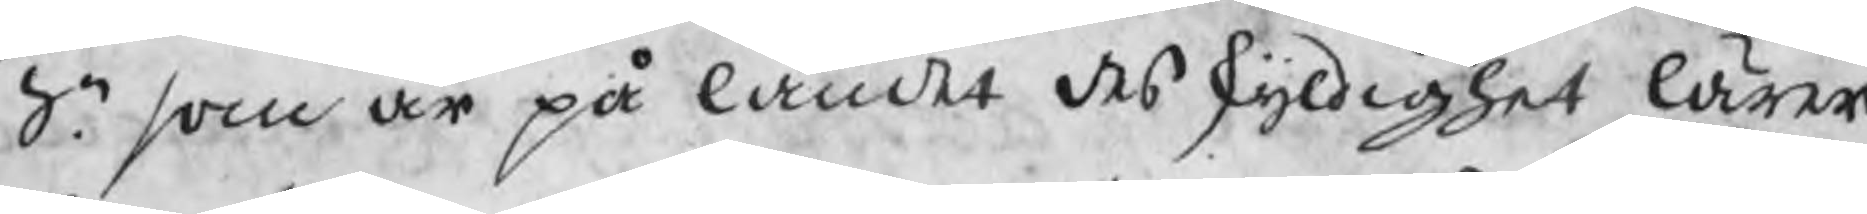Sn. som är på landet des skyldighet lärer
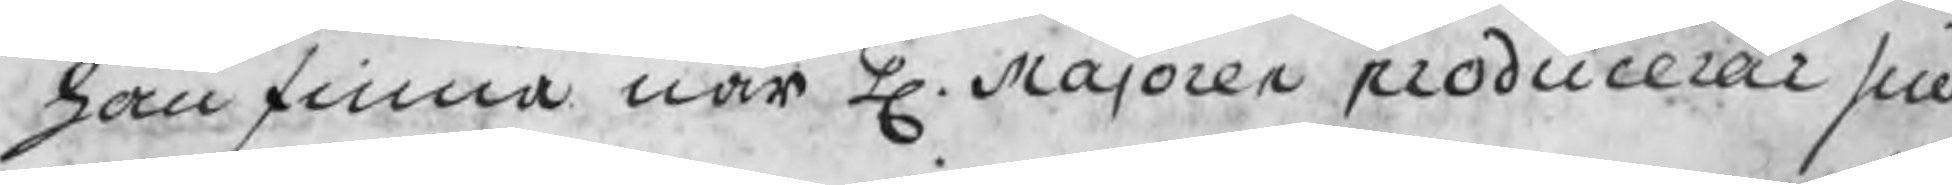han finna när H. Majoren producerar sin
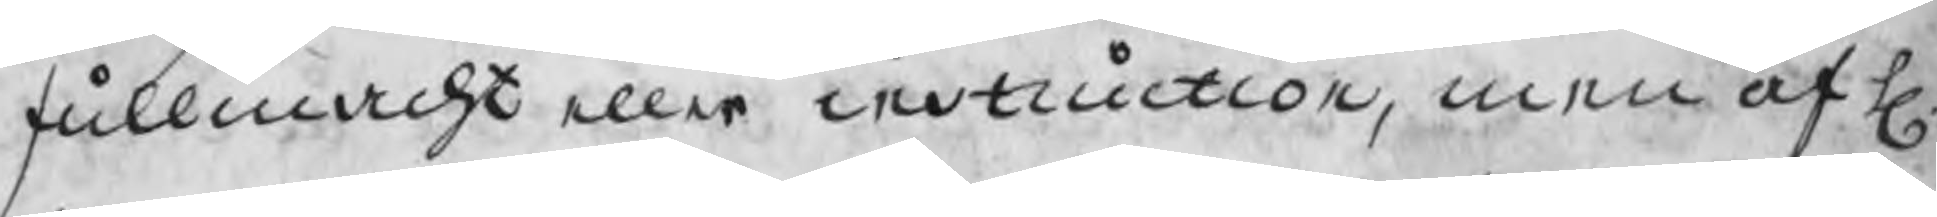fullmacht eller instruction, men af H.
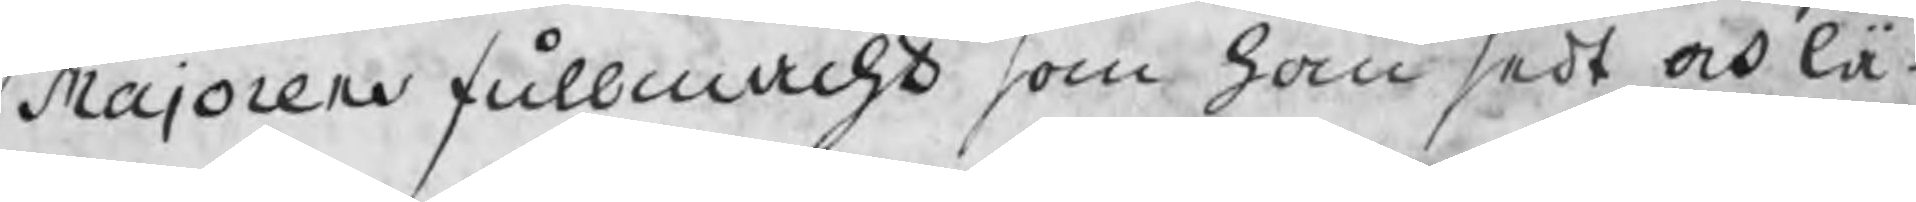Majorens fullmacht som han sedt och lä¬
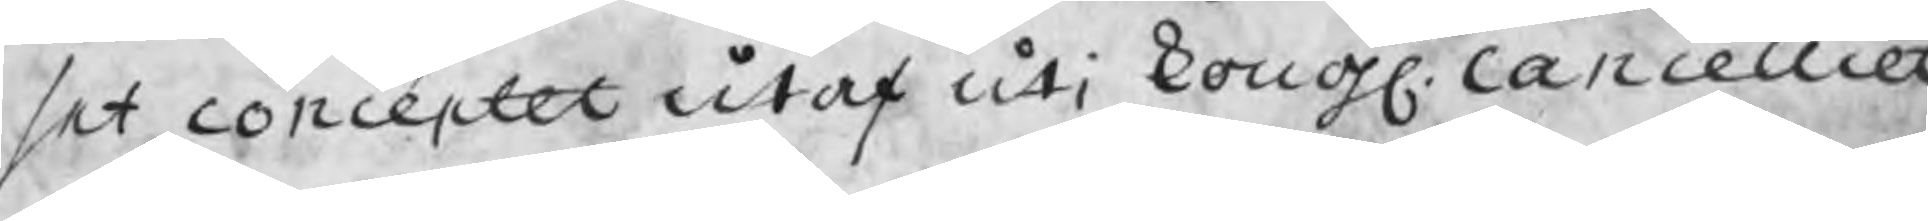set conceptet utaf uti Kongl. Cancelliet
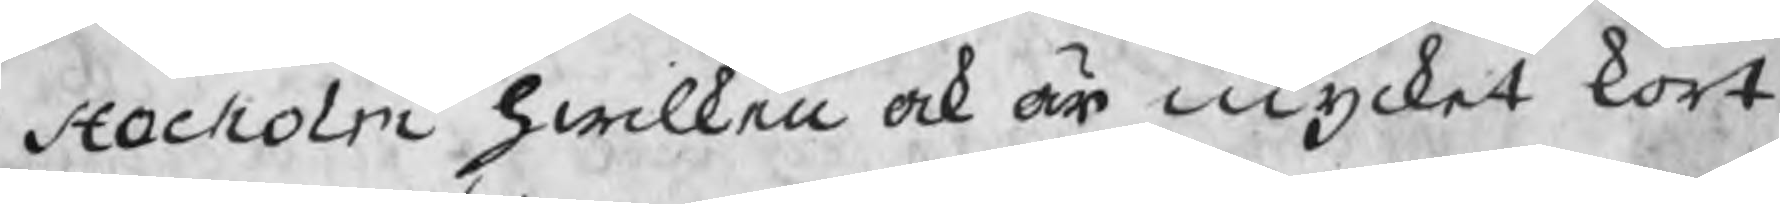i Stocholm hwilken ock är mycket kort
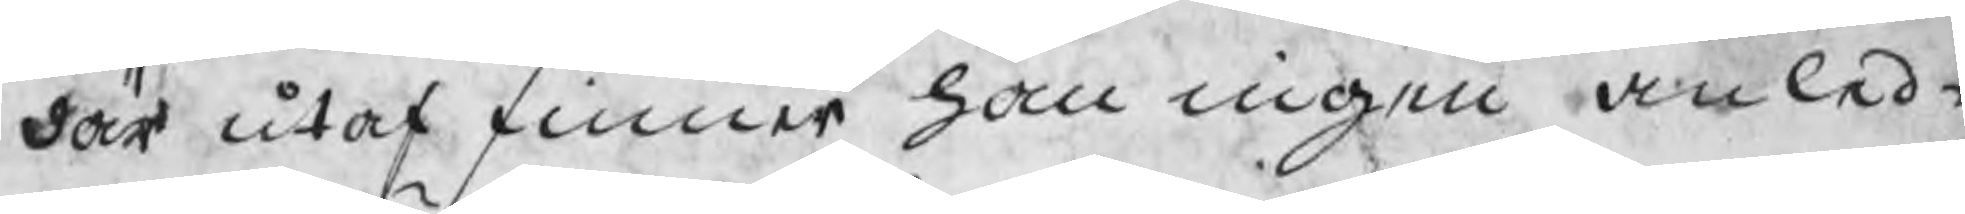där utaf finner han ingen anled¬
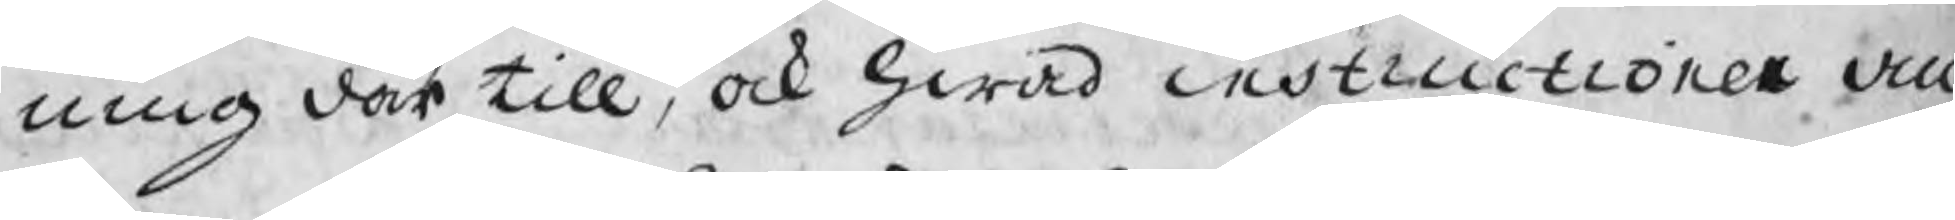ning där till, ock hwad instructionen an
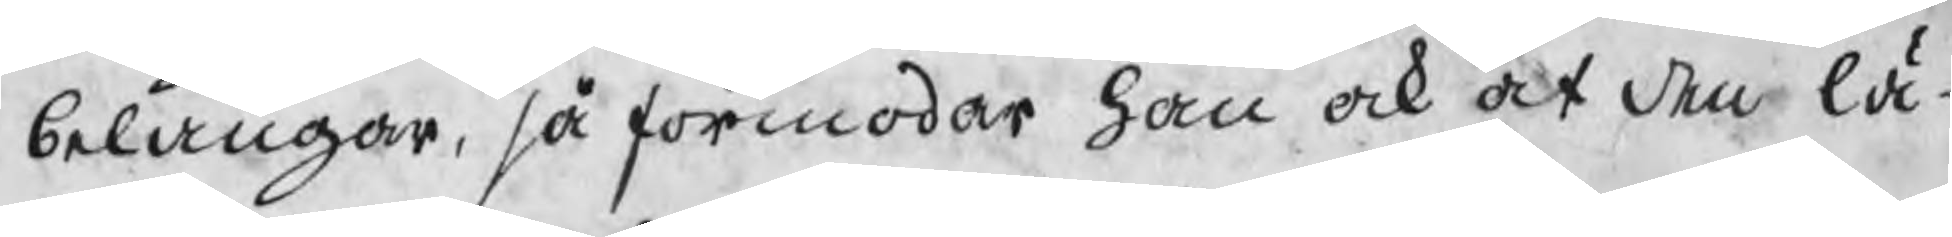belangar, så förmodar han ock at den lä¬
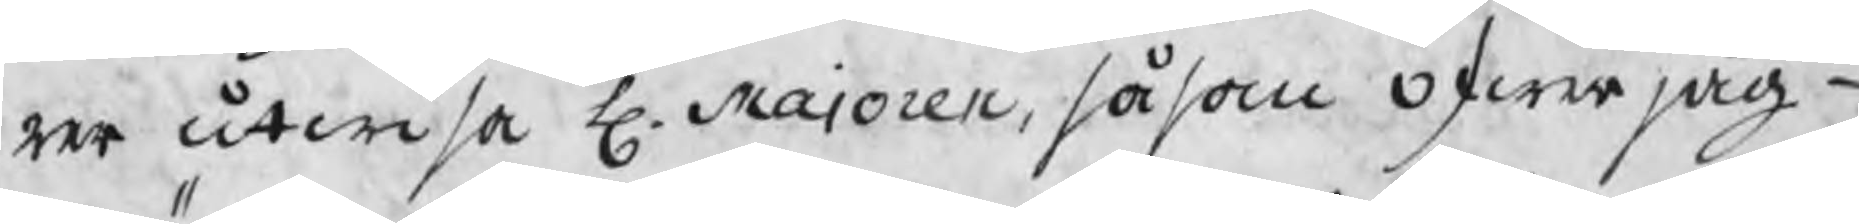rer utwisa H. Majoren, såsom Öfwerjäg-
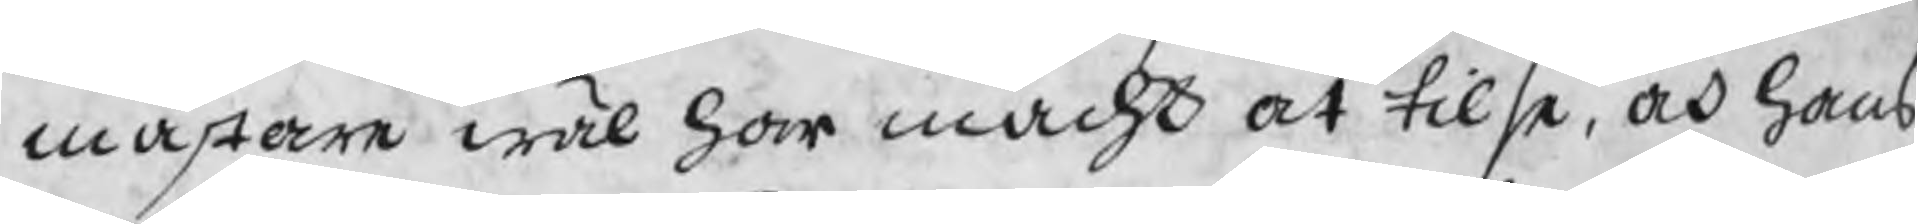mästare wäl har macht at tilse, och hans
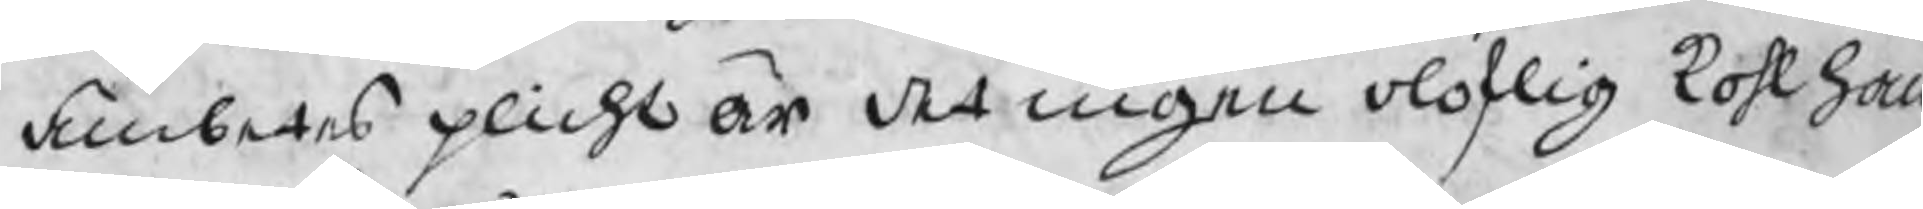ämbetes plicht är det ingen oloflig kohlhan
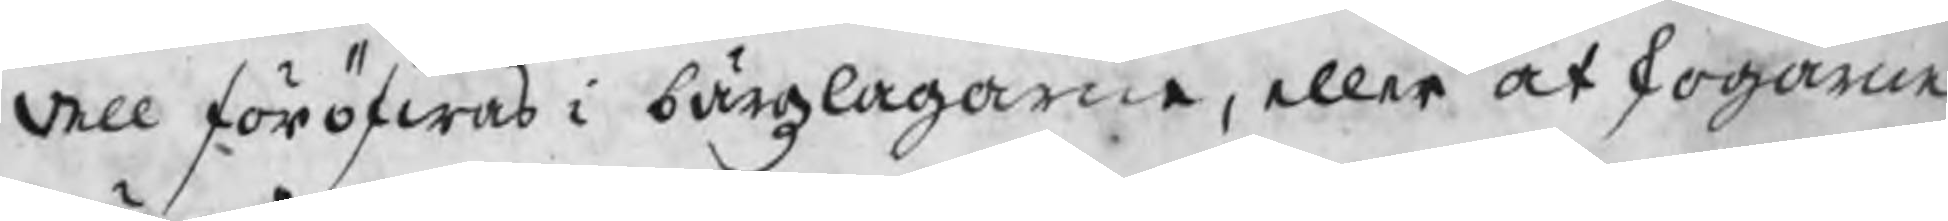dell föröfwas i bärgzlagarne, eller at skogarne
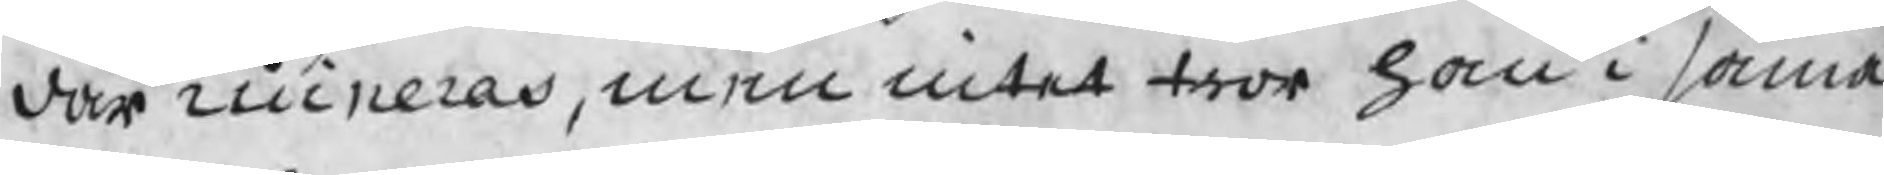där ruineras, men intet tror han i sama
